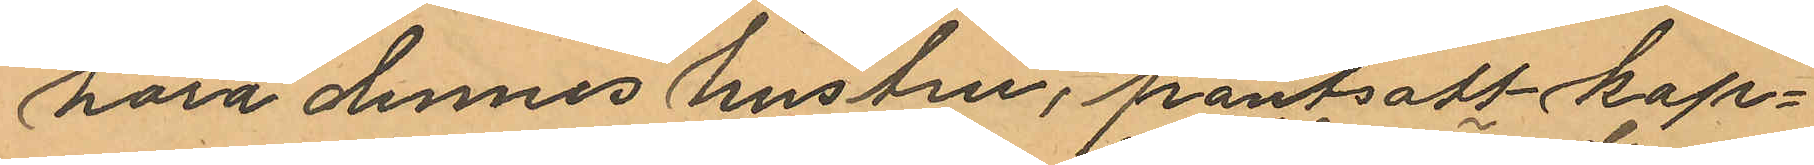höra dennes hustru, pantsatt kap¬
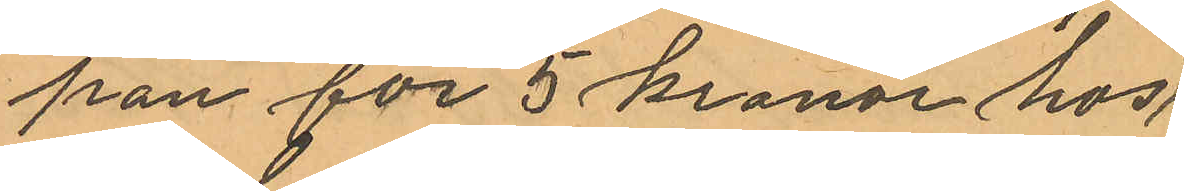pan för 5 kronor hos
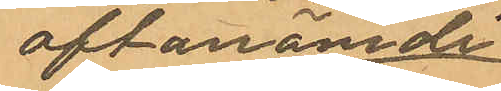oftanämde
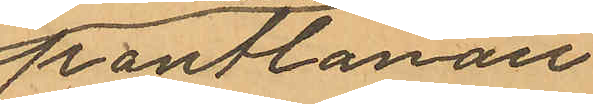pantlånare
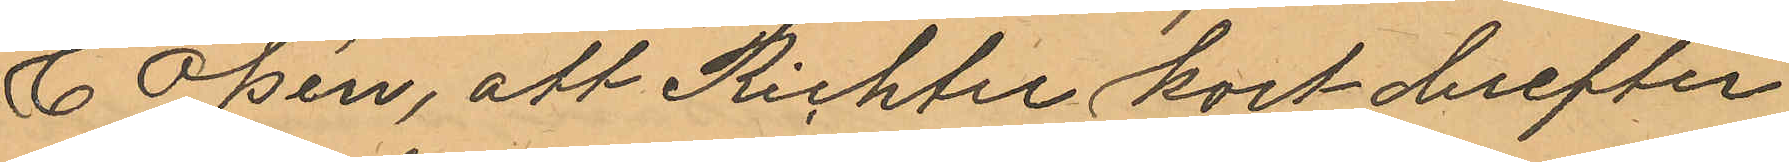C Olsén, att Richter kort derefter
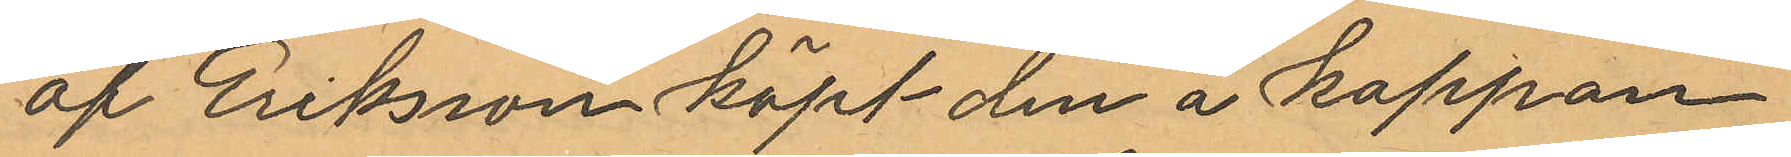af Eriksson köpt den å kappan
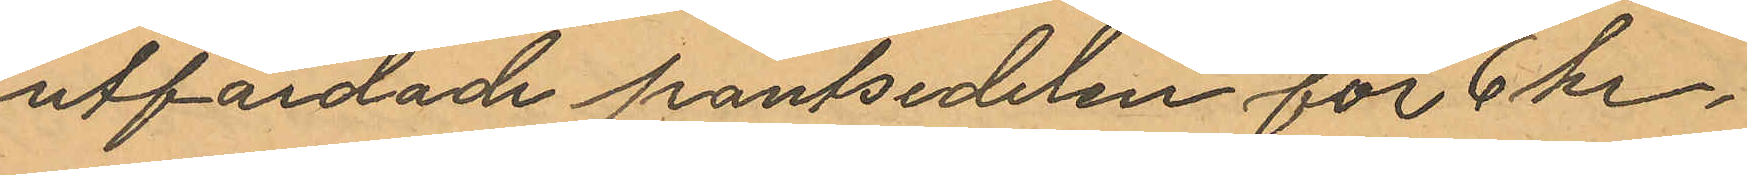utfärdade pantsedelen för 6 kr,
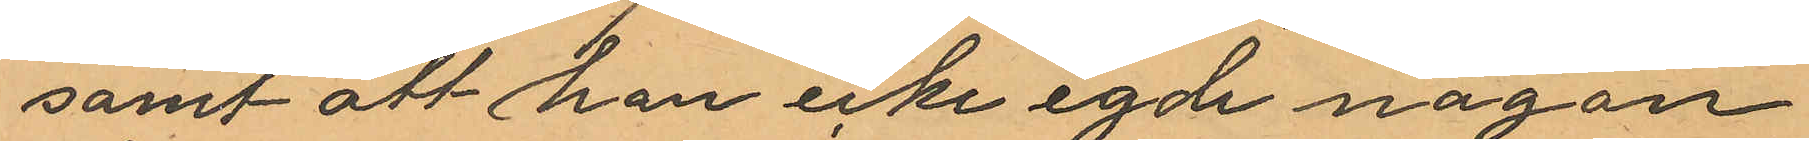samt att han icke egde någon
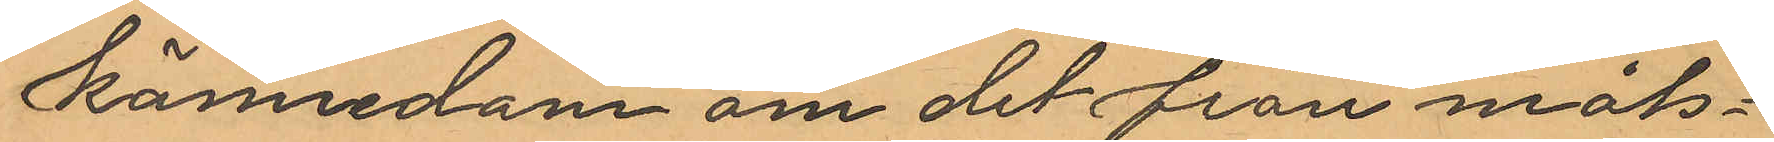kännedom om det från måls¬
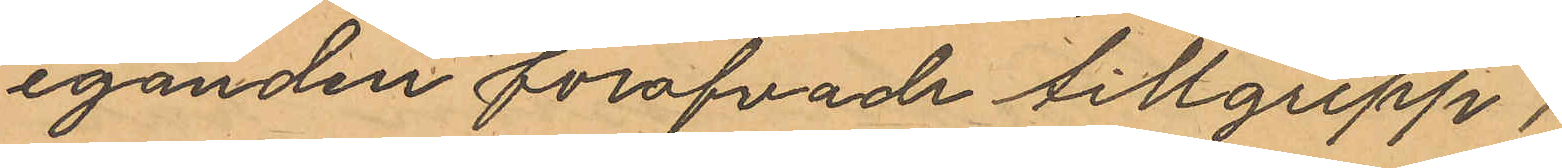eganden föröfvade tillgrepp.
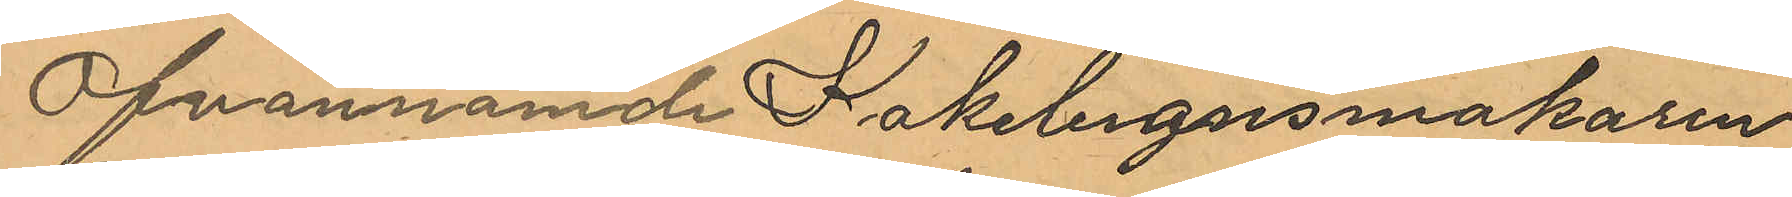Ofvannämde Kakelugnsmakaren
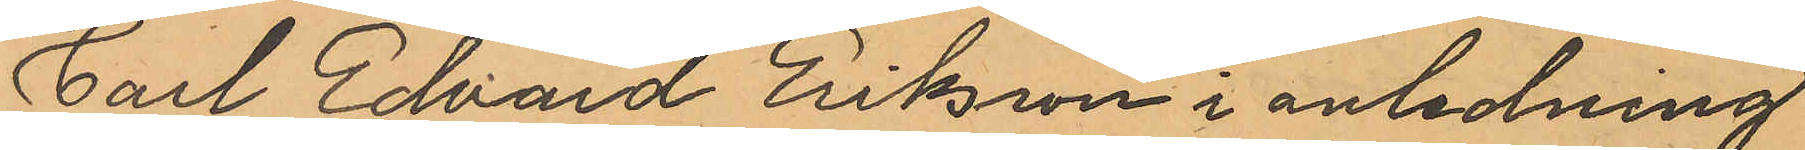Carl Edvard Eriksson i anledning
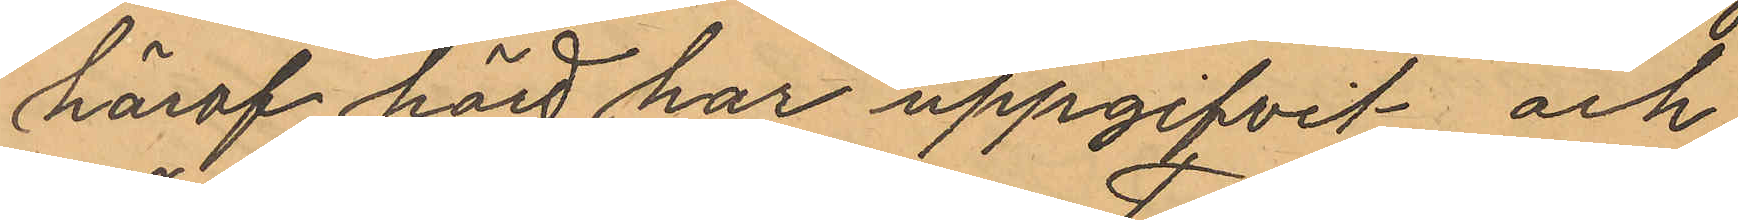häraf hörd har uppgifvit och
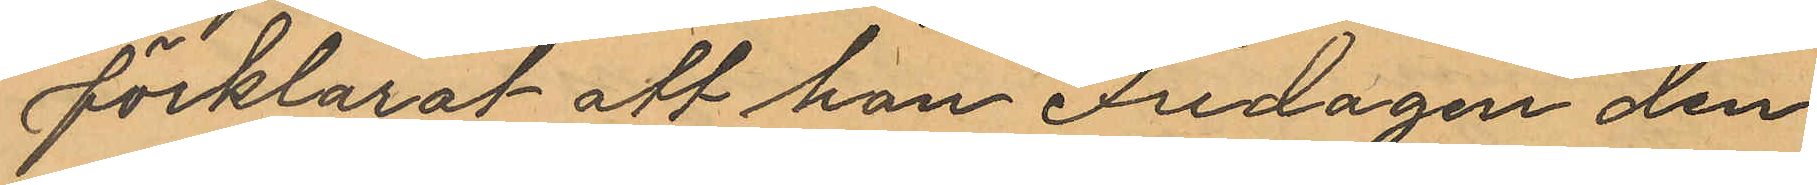förklarat att han Fredagen den
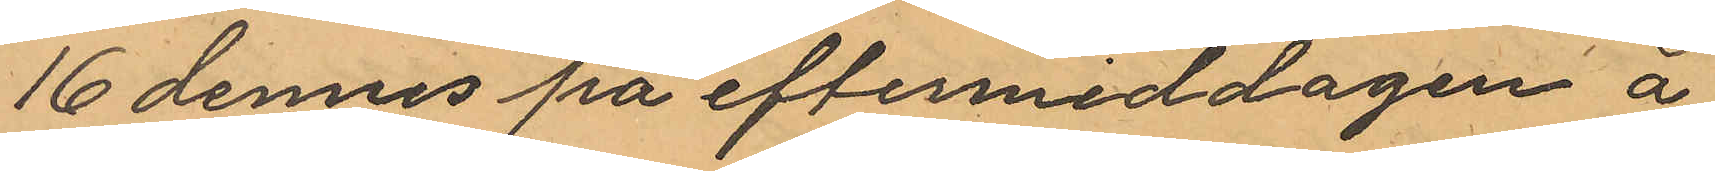16 dennes på eftermiddagen å
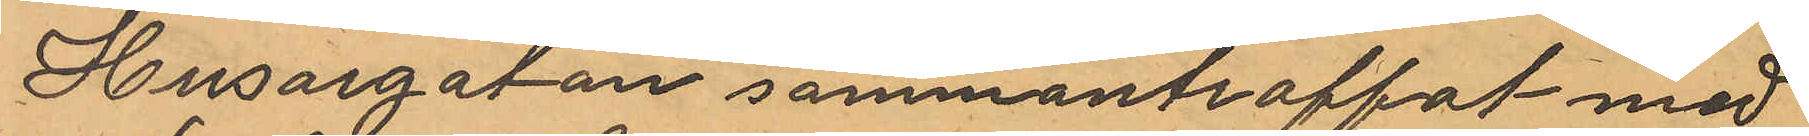Husargatan sammanträffat med
